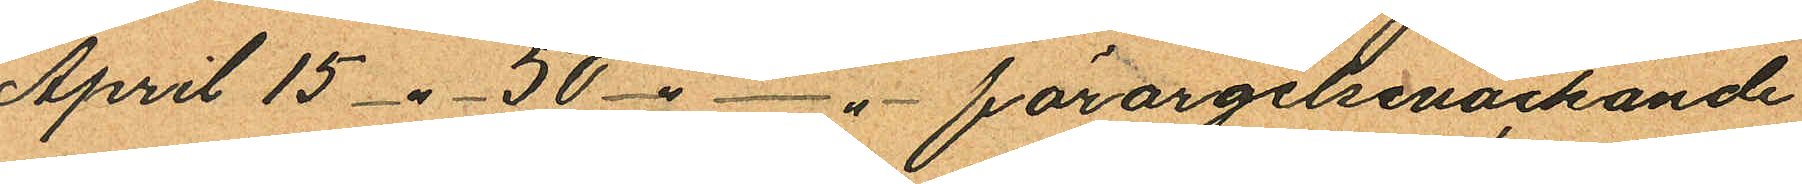April 15 -"- 50 -" -"- förargelseväckande
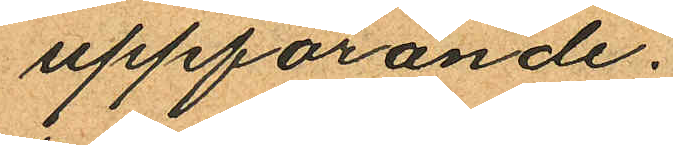uppförande.
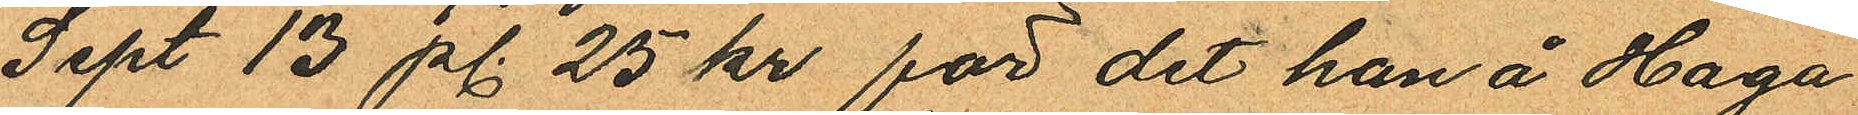Sept 13 pl. 25 kr för det han å Haga
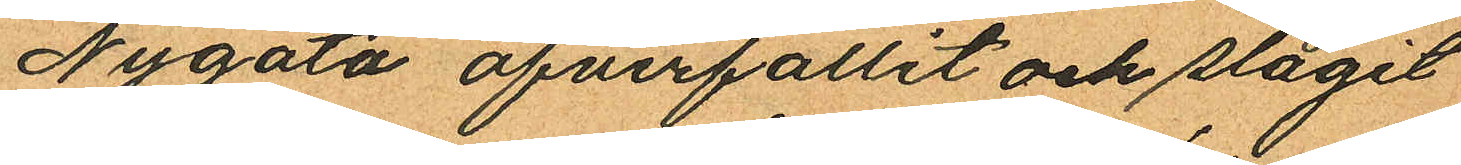Nygata öfverfallit och slagit
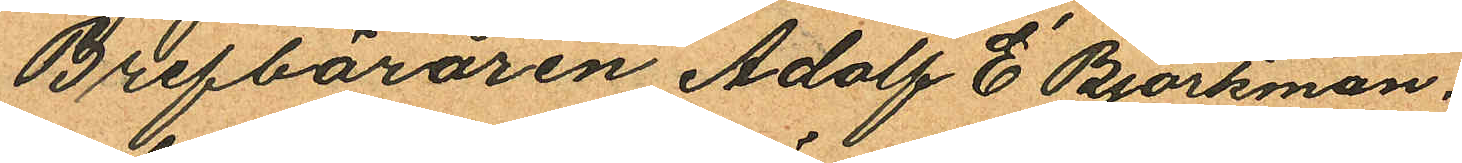Brefbäraren Adolf E Björkman.
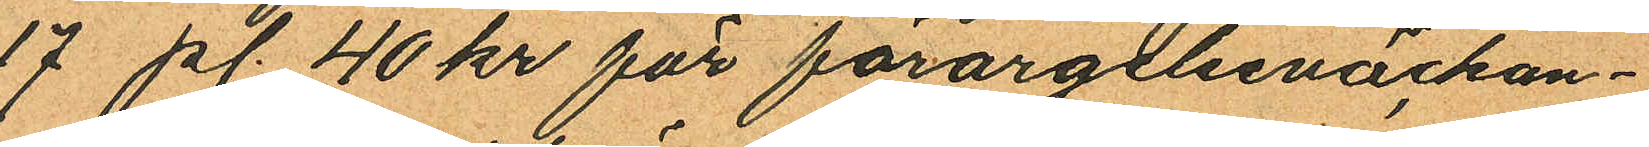17 pl. 40 kr för förargelseväckan¬
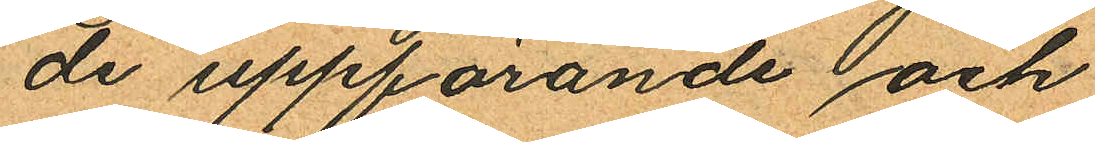de uppförande och
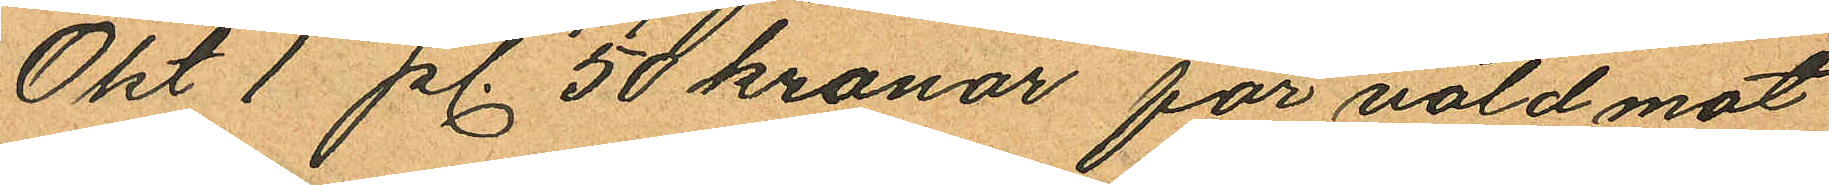Okt 1 pl. 50 kronor för våld mot
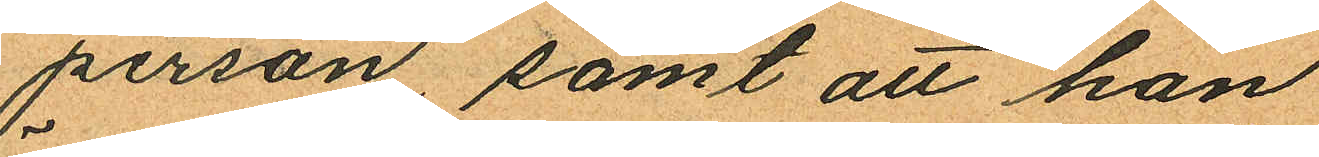person samt att han
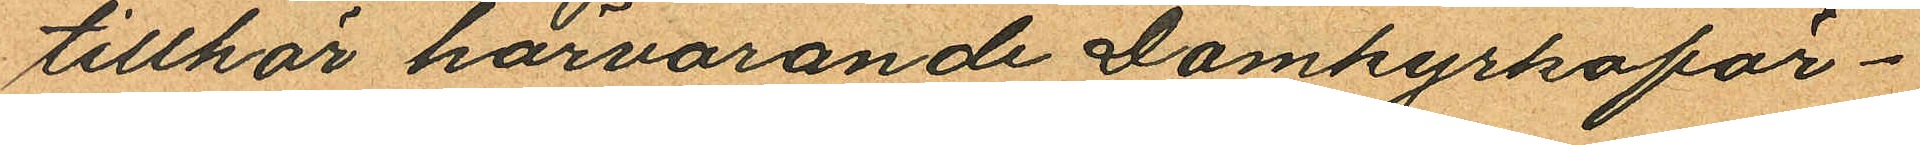tillhör härvarande Domkyrkoför¬
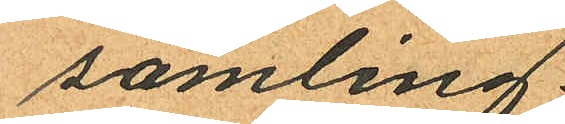samling.
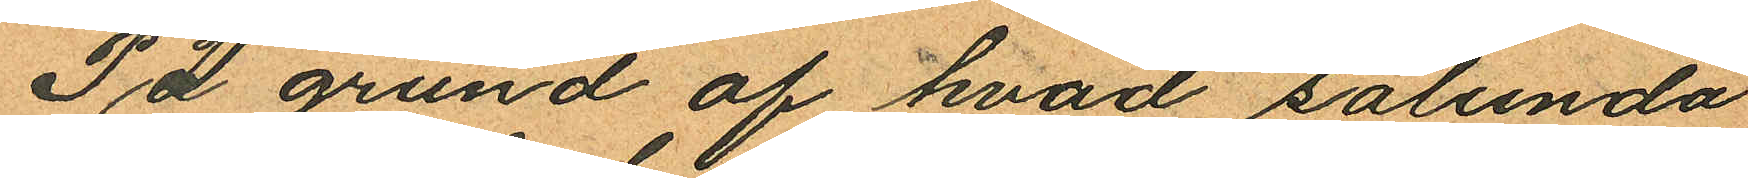På grund af hvad sålunda
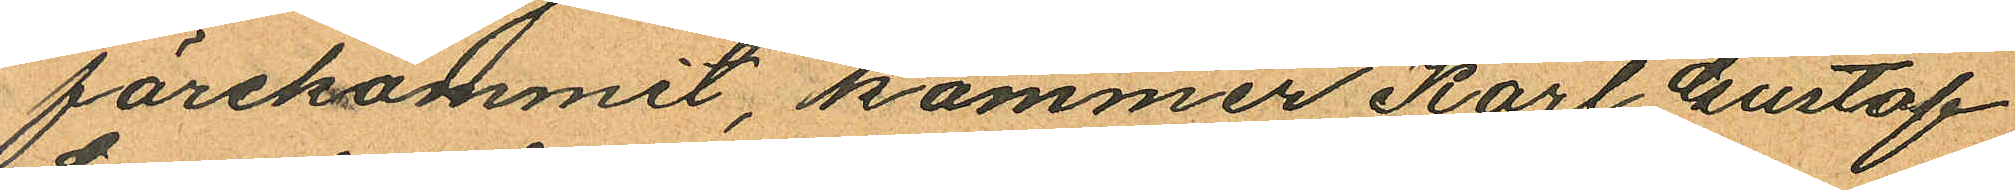förekommit, kommer Karl Gustaf
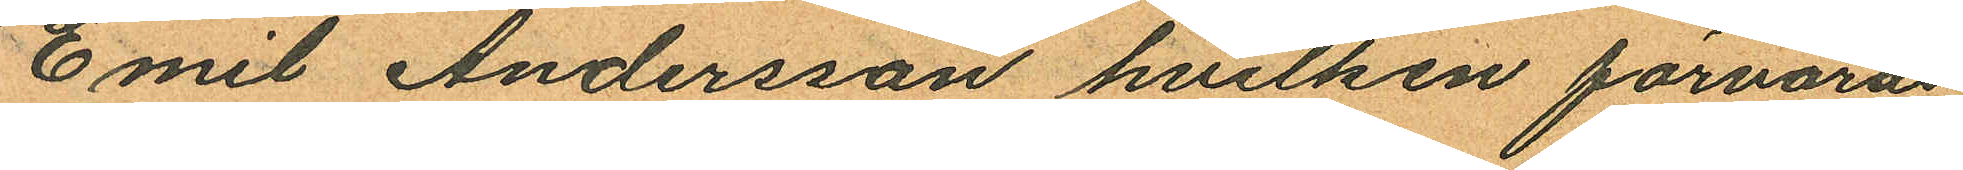Emil Andersson hvilken förvaras
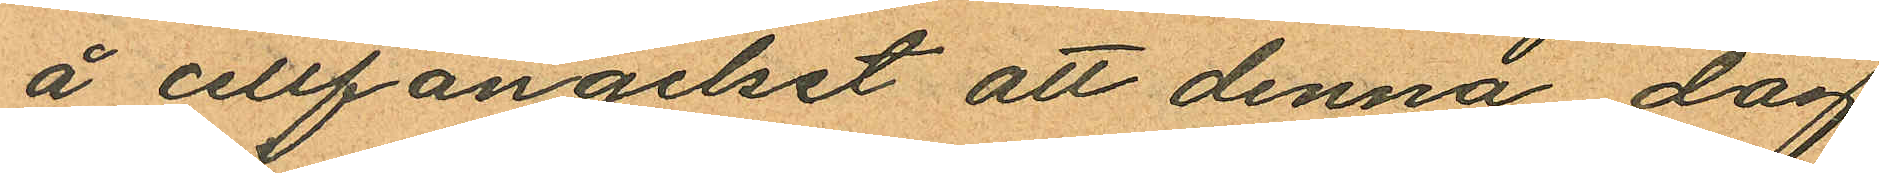å cellfängelset att denna dag
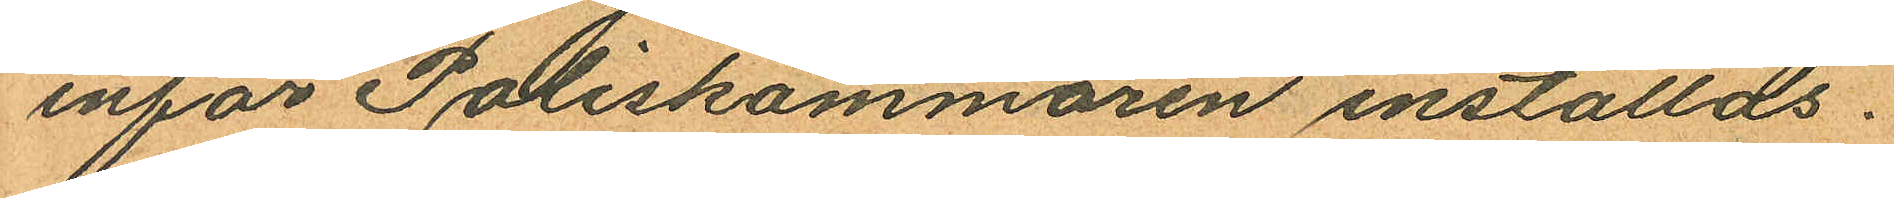inför Poliskammaren inställas.
